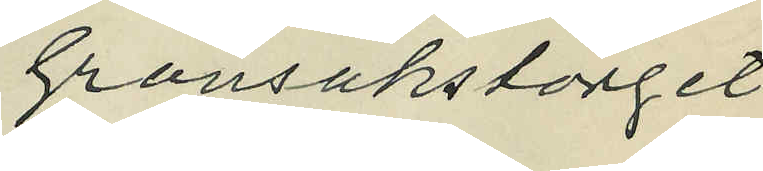Grönsakstorget
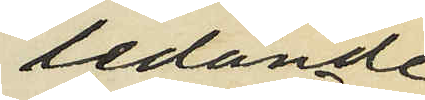ledande
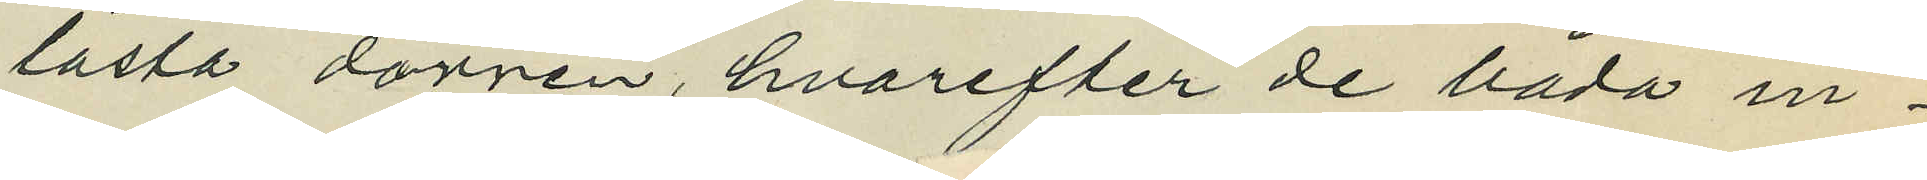låsta dörren, hvarefter de båda in¬
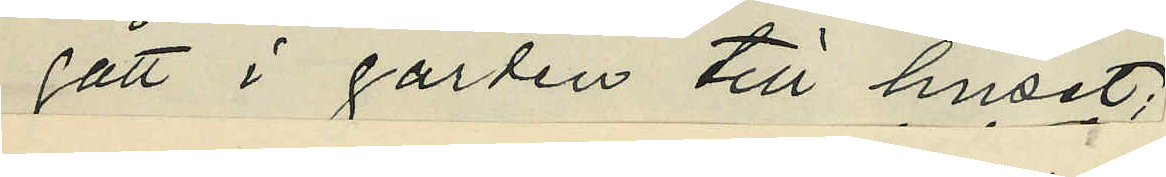gått i gården till huset;
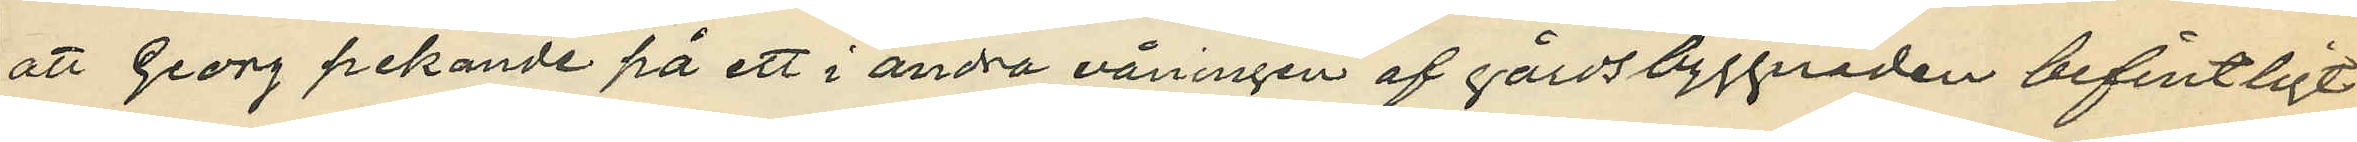att Georg pekande på ett i andra våningen af gårdsbyggnaden befintligt
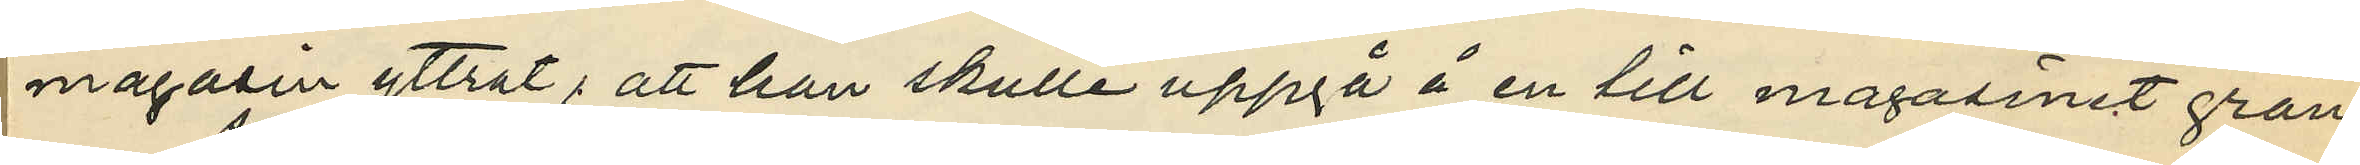magasin yttrat, att han skulle uppgå å en till magasinet grän¬
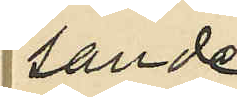sande
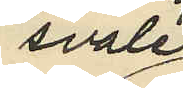svale
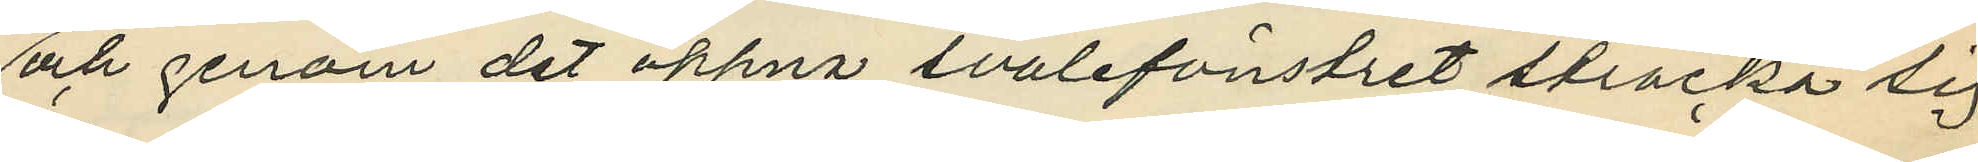och genom det öppna svalefönstret sträcka sig
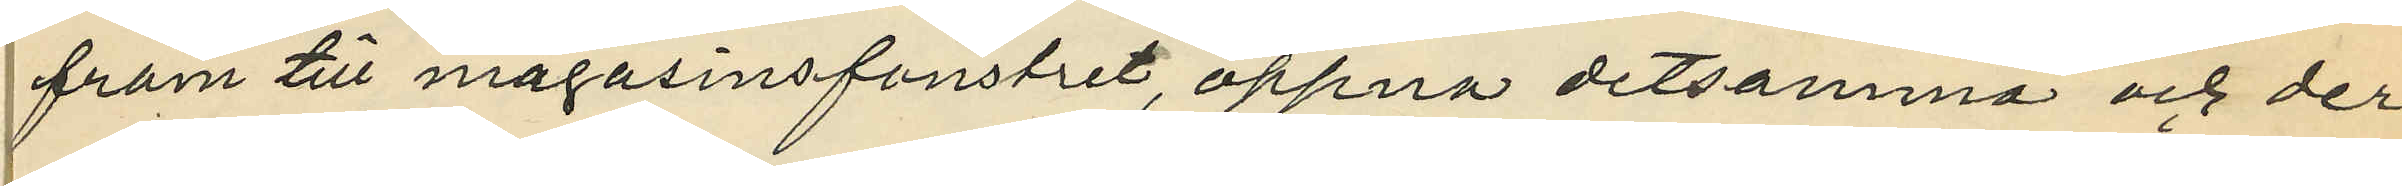fram till magasinsfönstret, öppna detsamma och der¬
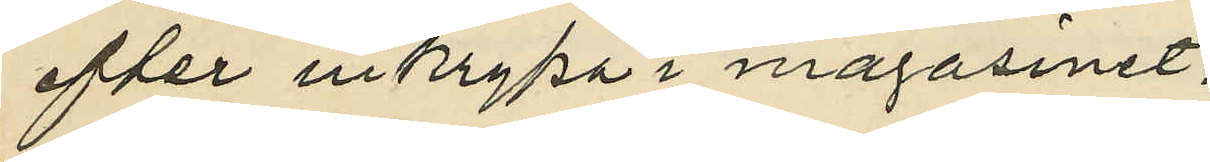efter inkrypa i magasinet;
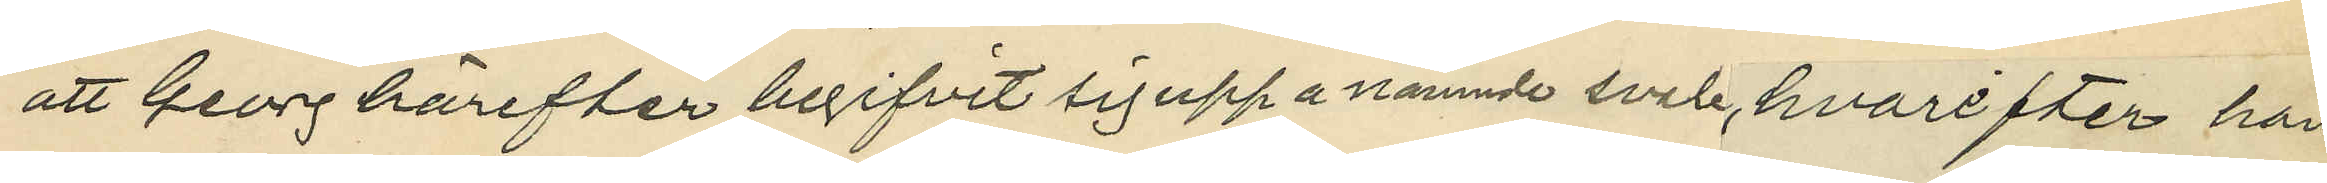att Georg härefter begifvit sig upp å nämnde svale, hvarefter han
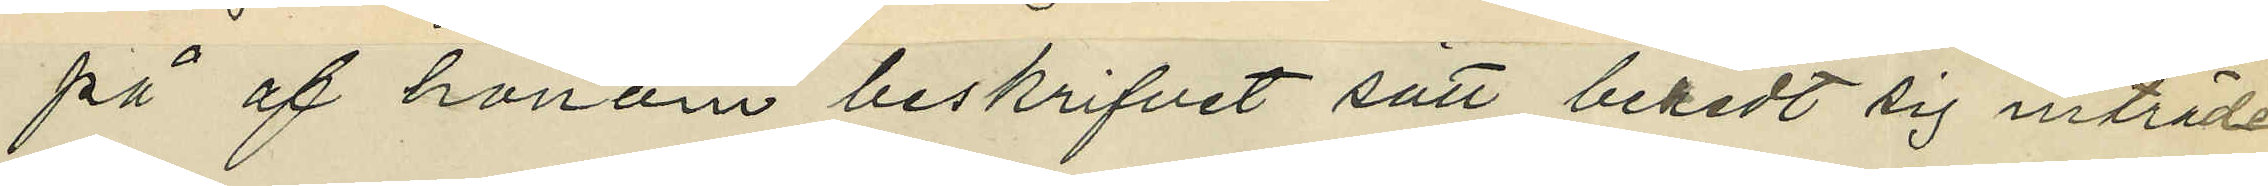på af honom beskrifvet sätt beredt sig inträde
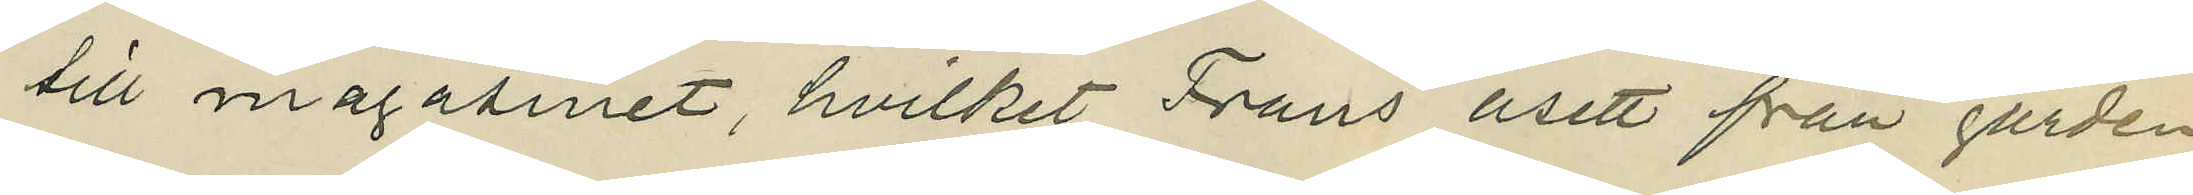till magasinet, hvilket Frans åsett från gården
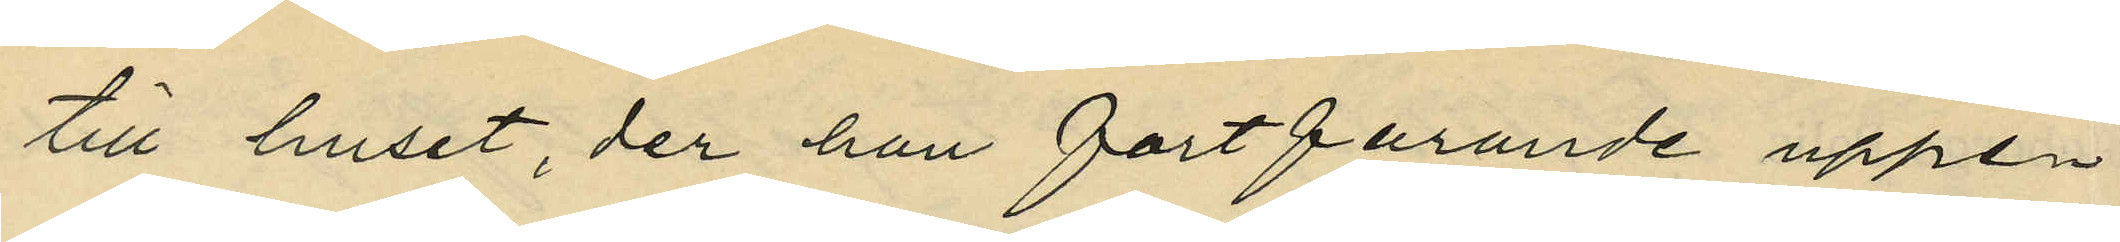till huset, der han fortfarande uppe¬
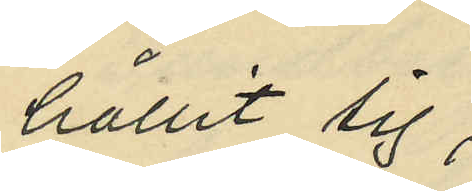hållit sig;
